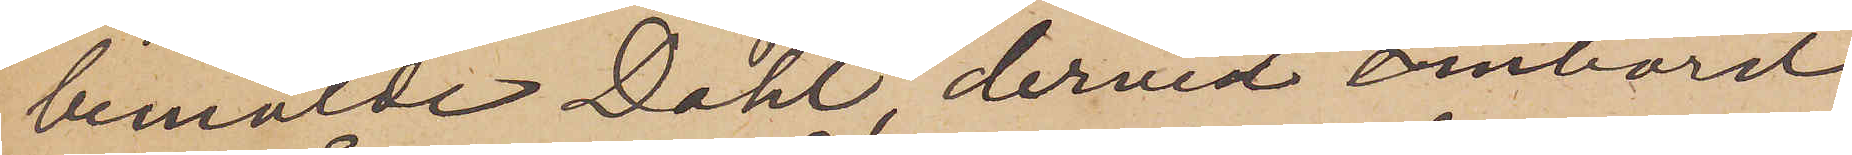bemälde Dahl, dervid ombord
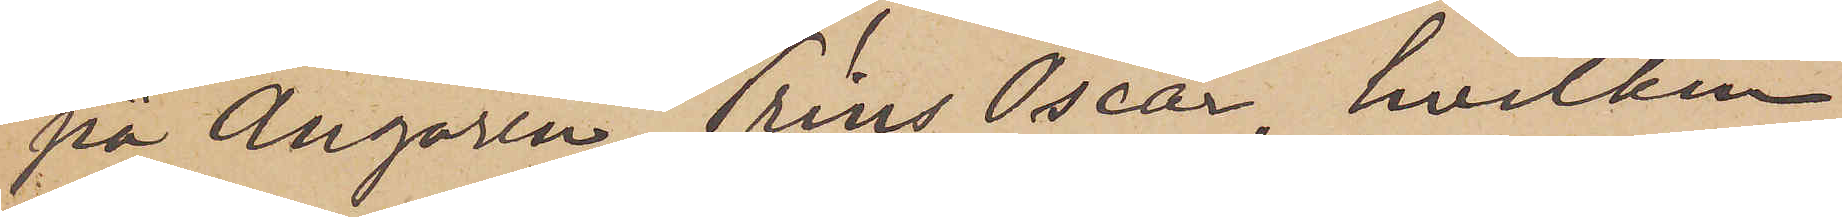på Ångaren Prins Oscar, hvilken
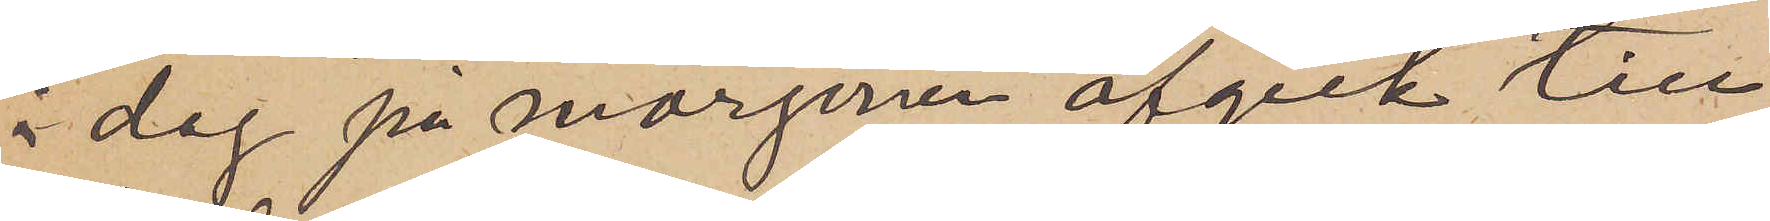i dag på morgonen afgick till
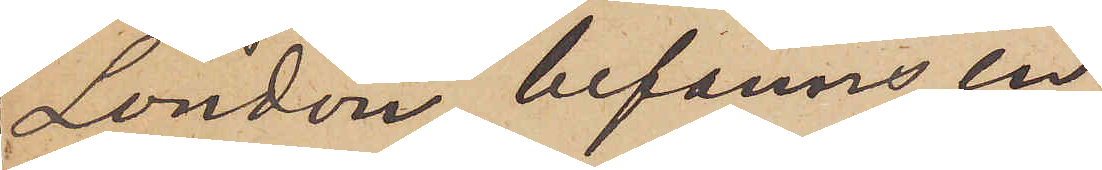London, befanns en
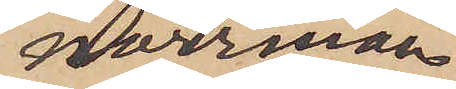norrman
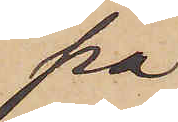på
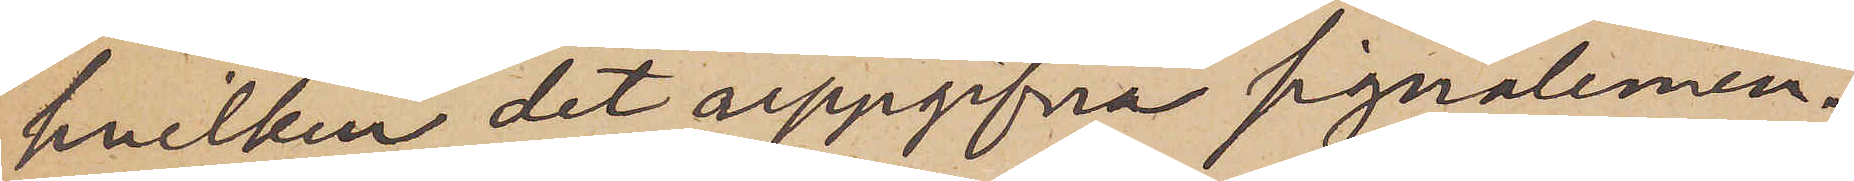hvilken det uppgifna signalemen¬
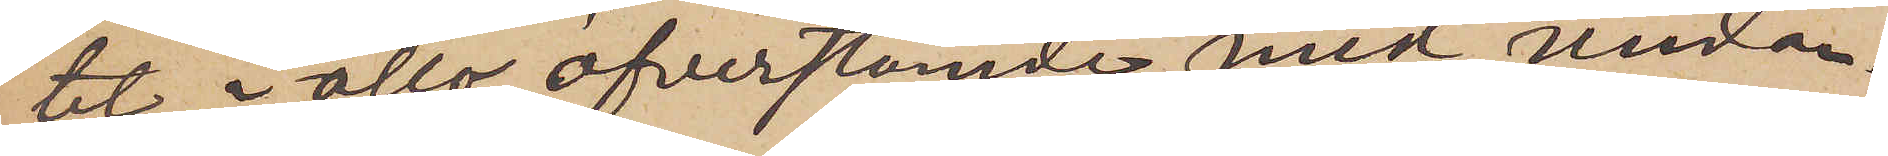tet i allo öfverstämde med undan¬
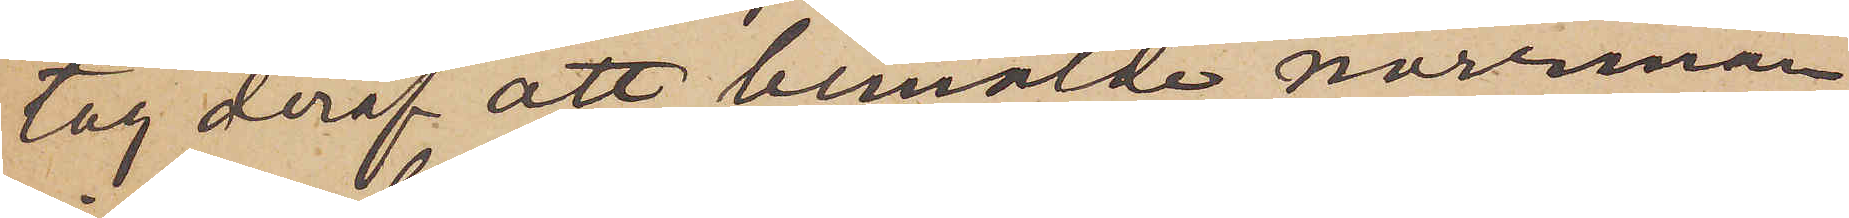tag deraf att bemälde norrman
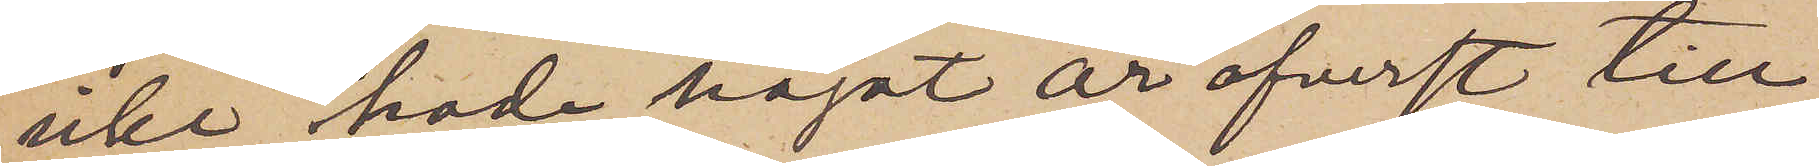icke hade något är öfverst till
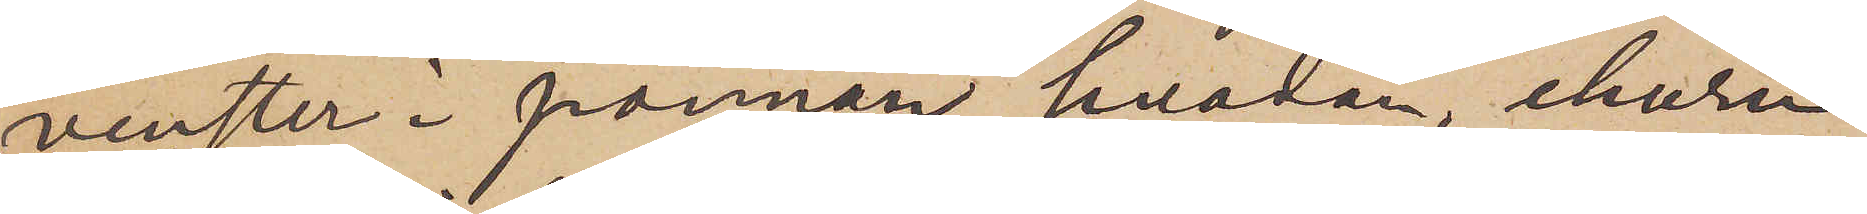venster i pannan, hvadan, ehuru
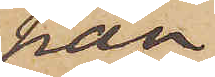han
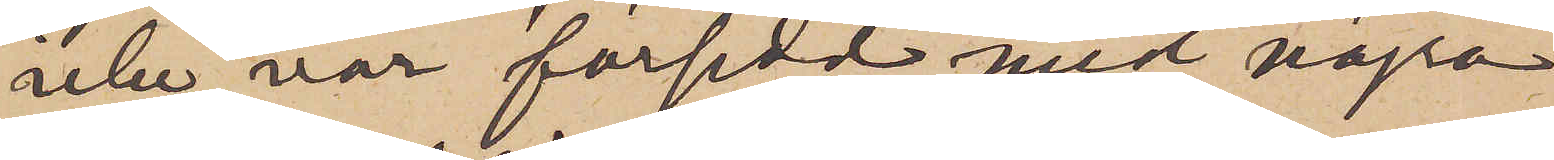icke var försedd med några
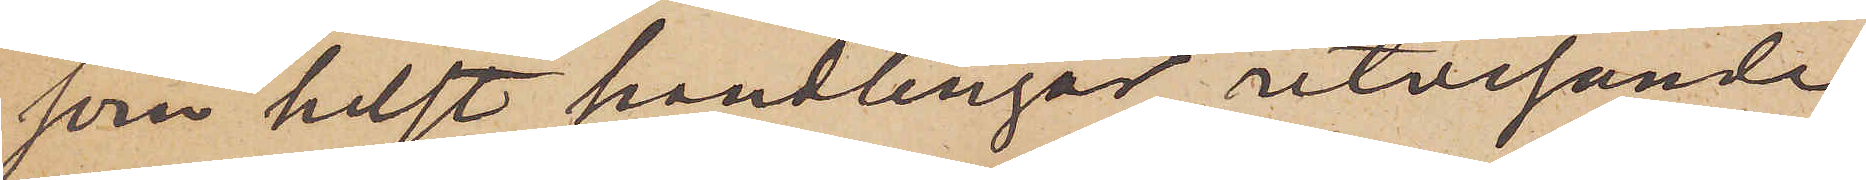som helst handlingar utvisande
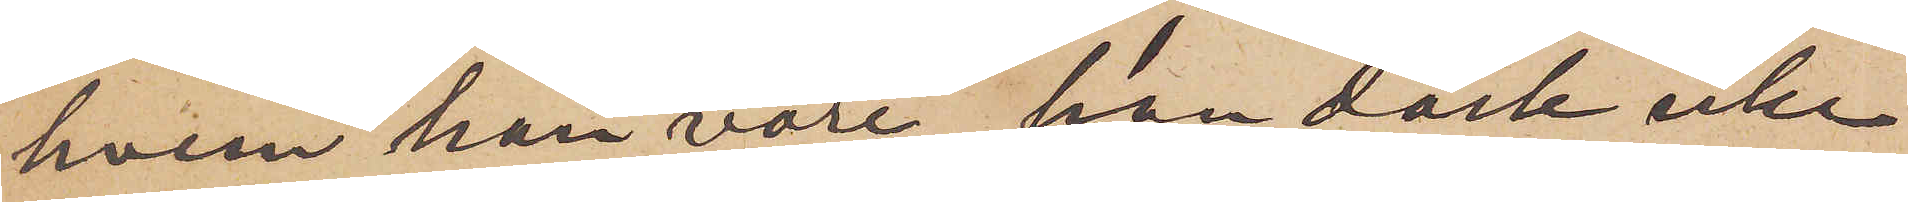hvem han vore, han dock icke
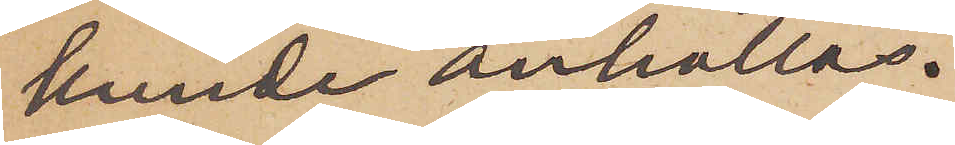kunde anhållas.
